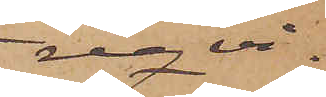reqvi¬
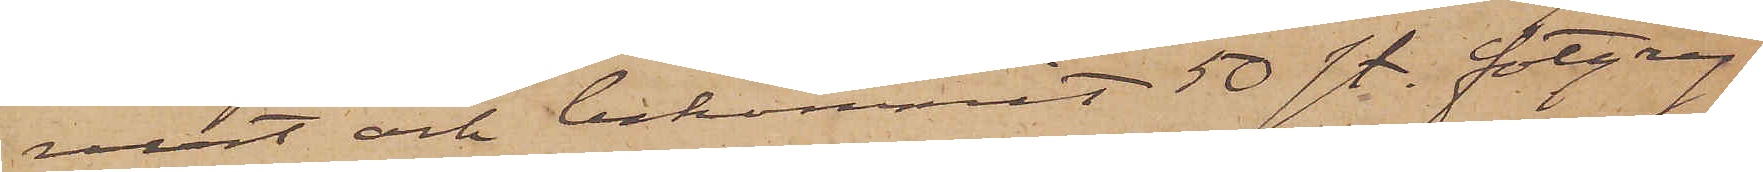rerat och bekommit 50 st. fotgry¬
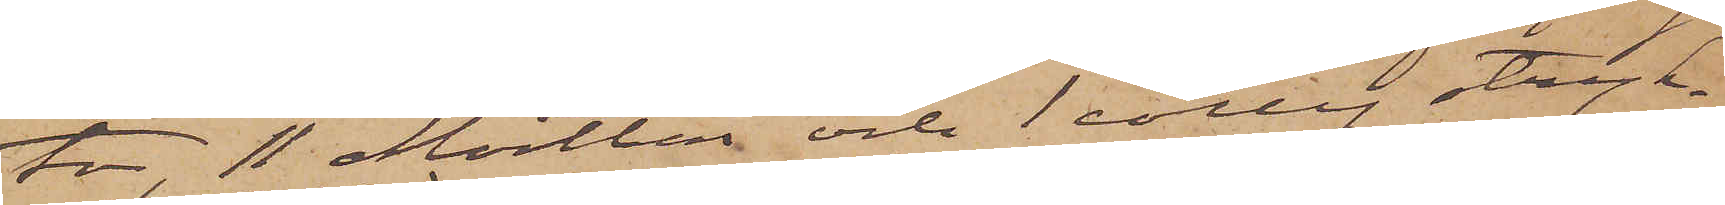tor, 11 Mortlar och 1 colly stryk¬
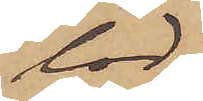lod
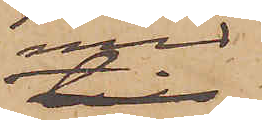med
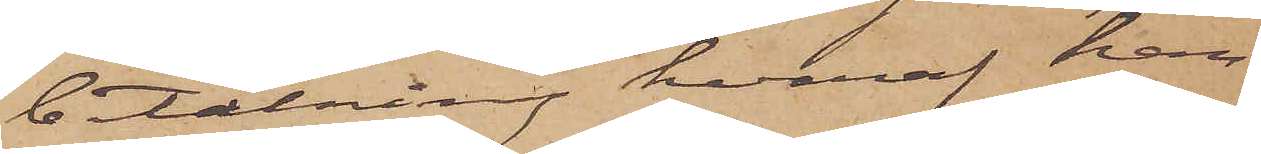betalning hvaraf han
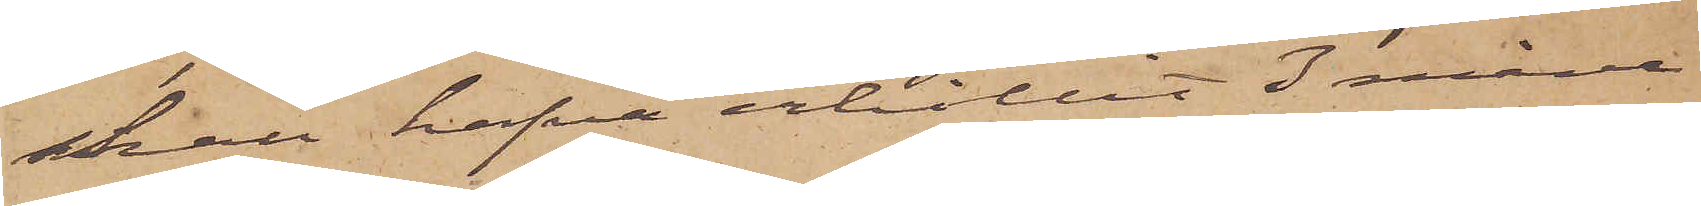skall hafva erhållit 3 måna¬
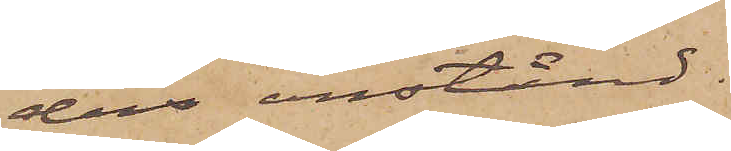ders anstånd.
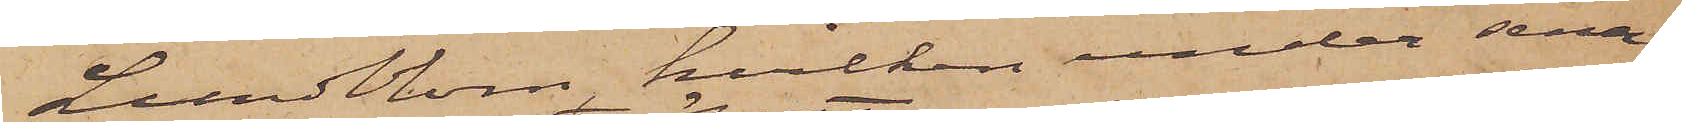Lundblom, hvilken under sena¬
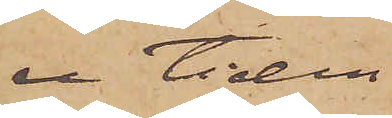re tiden
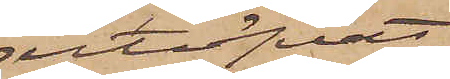utöfvat
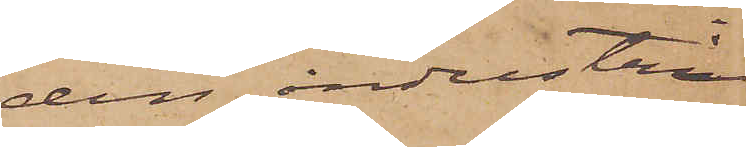den industrin
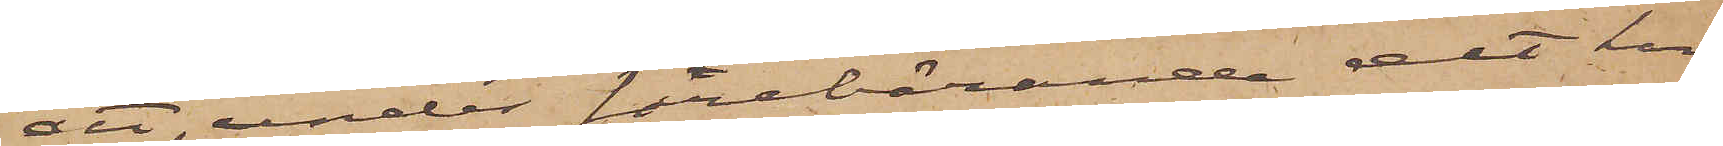att, under förebärande det han
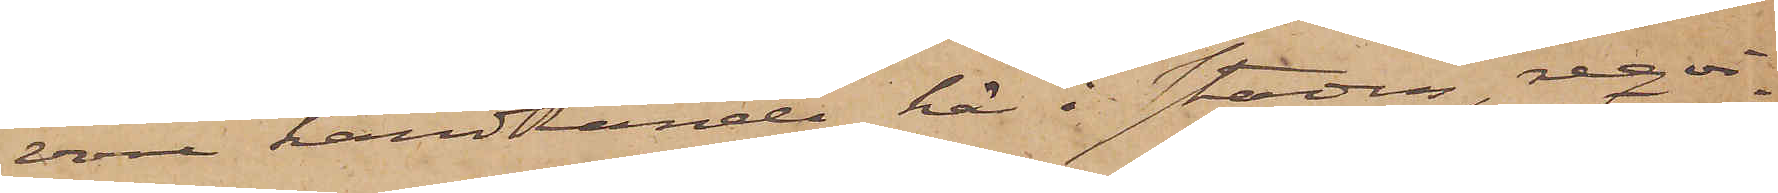vore handlande här i staden, reqvi¬
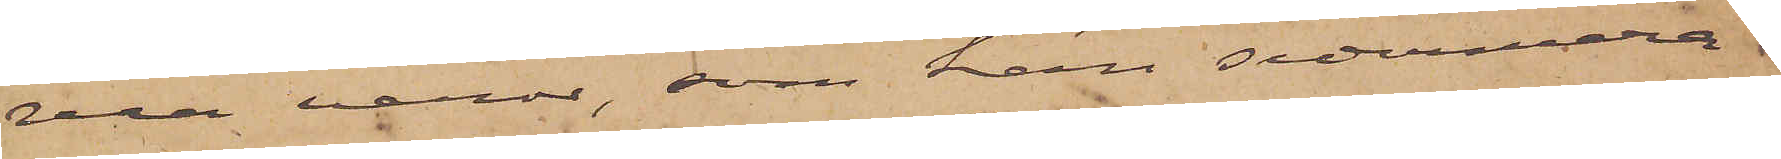rera varor, som han sedermera
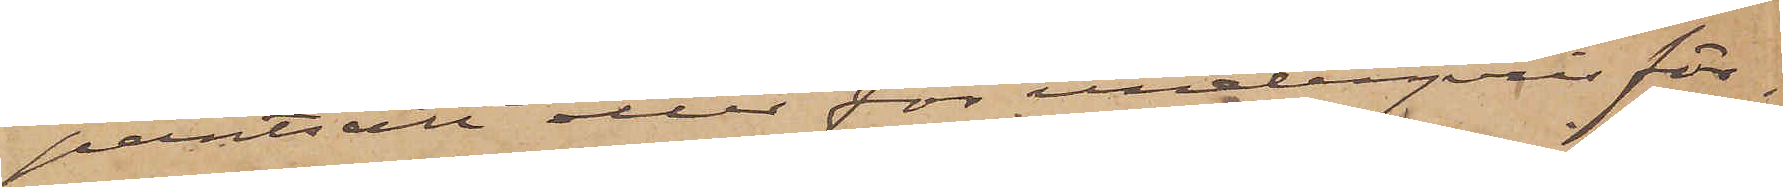pantsatt eller för underpris för¬
